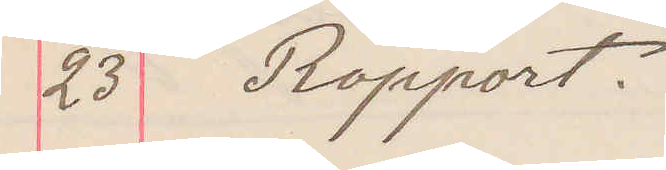23 Rapport.
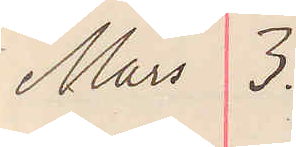Mars 3.
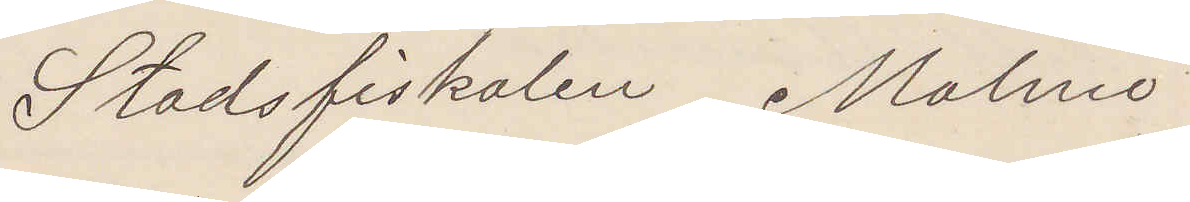Stadsfiskalen Malmö
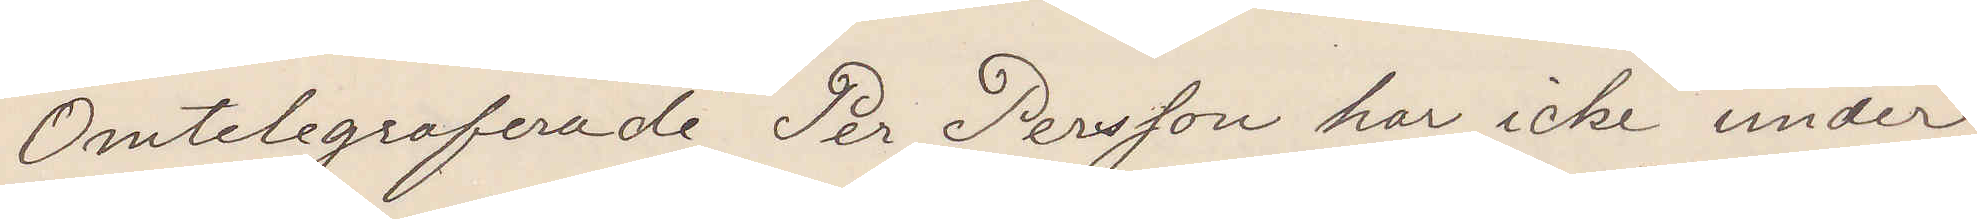Omtelegraferade per Persson har icke under
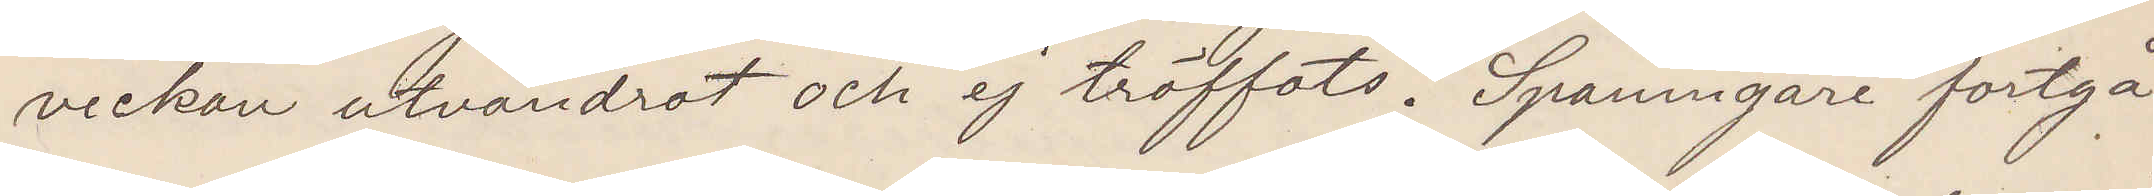veckan utvandrat och ej träffats. Spaningen fortgå
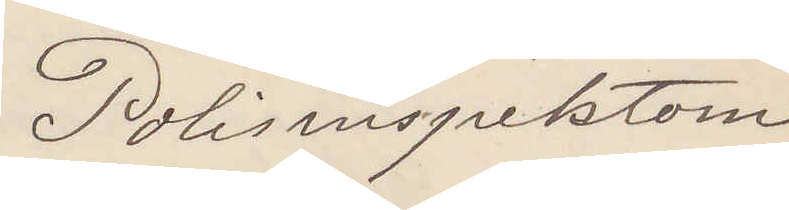Polisinspektorn.
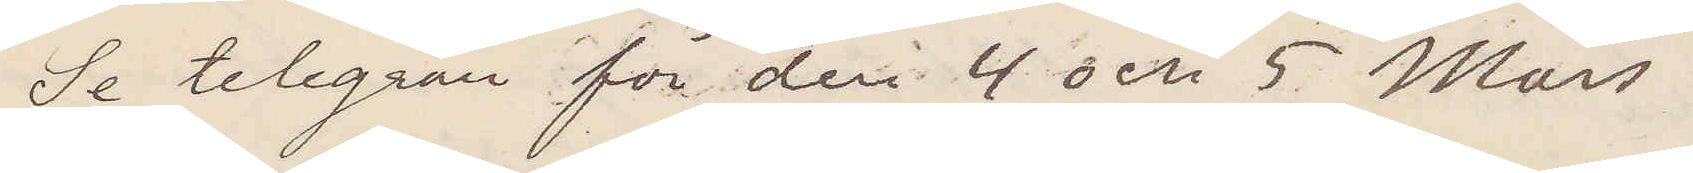Se telegram för den 4 och 5 Mars
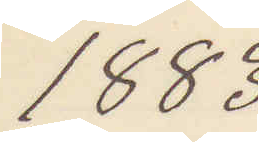1883
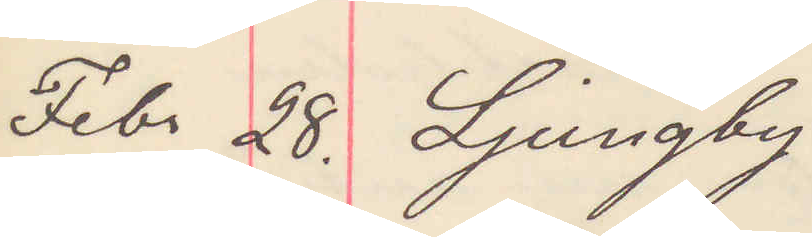Febr 28. Ljungby
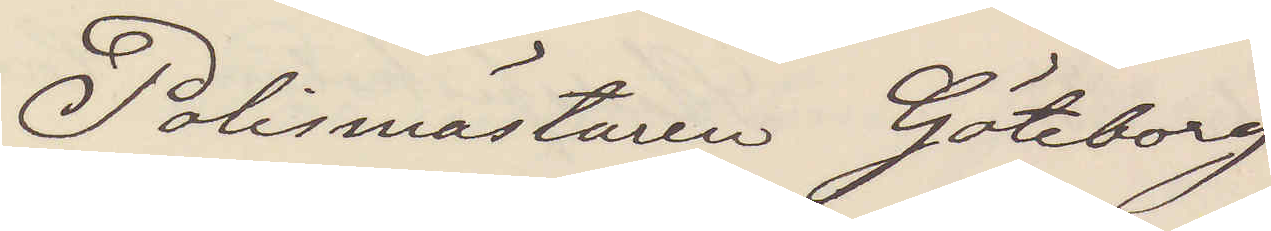Polismästaren Göteborg
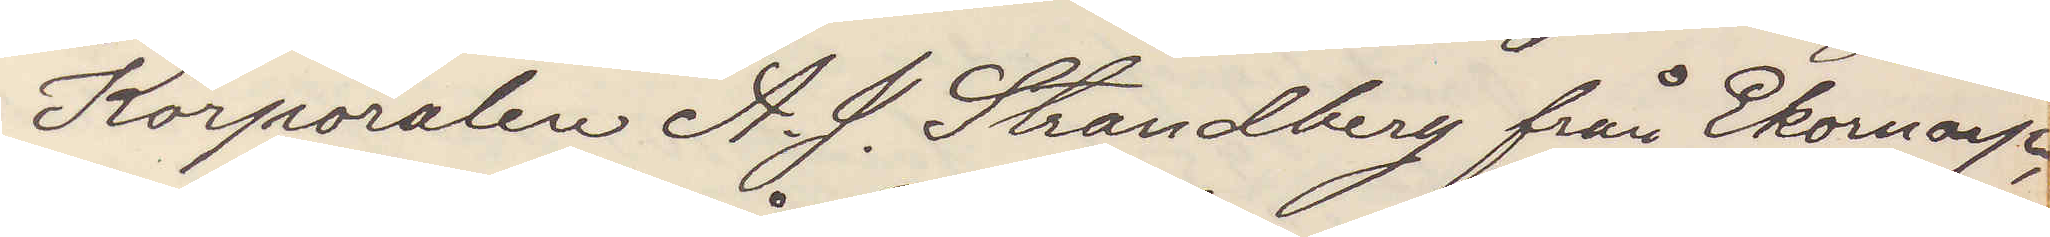Korporalen A. J. Strandberg från Ekornarp,
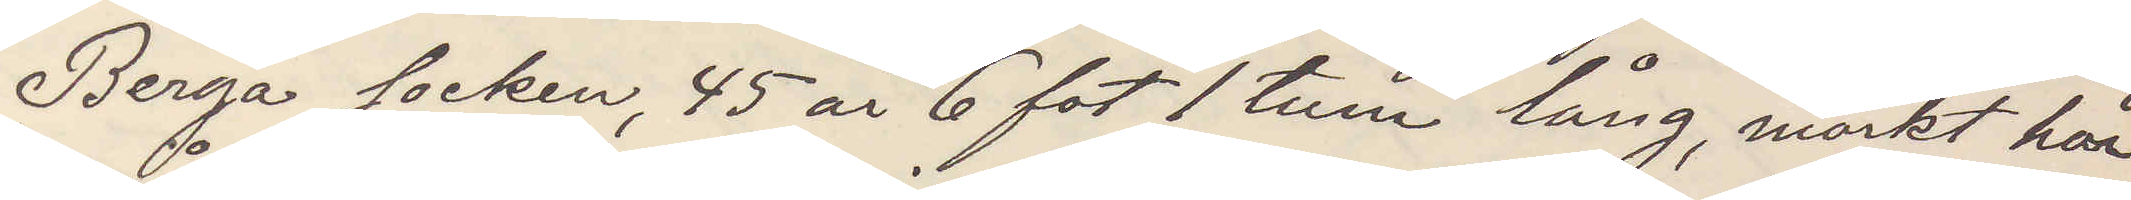Berga socken, 45 år 6 fot 1 tum lång, mörkt hår
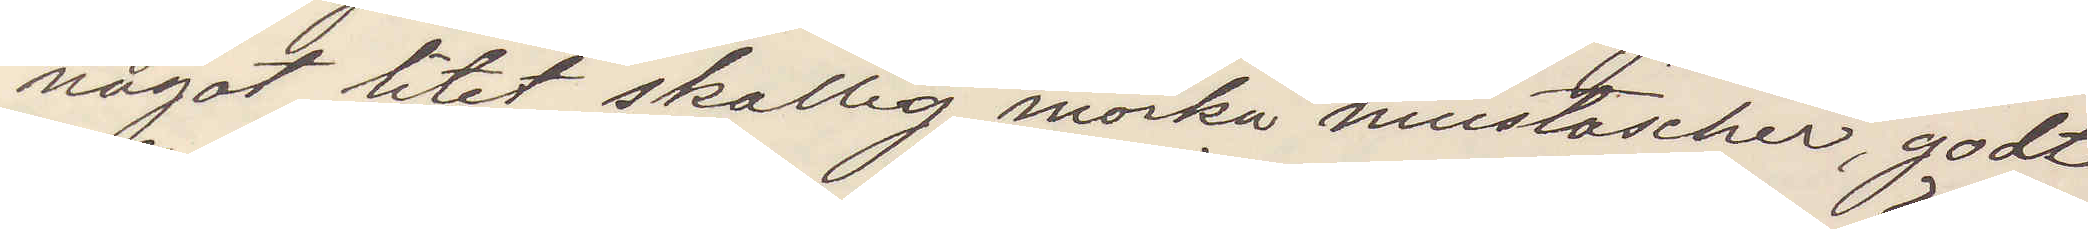något litet skallig, mörka mustascher, godt
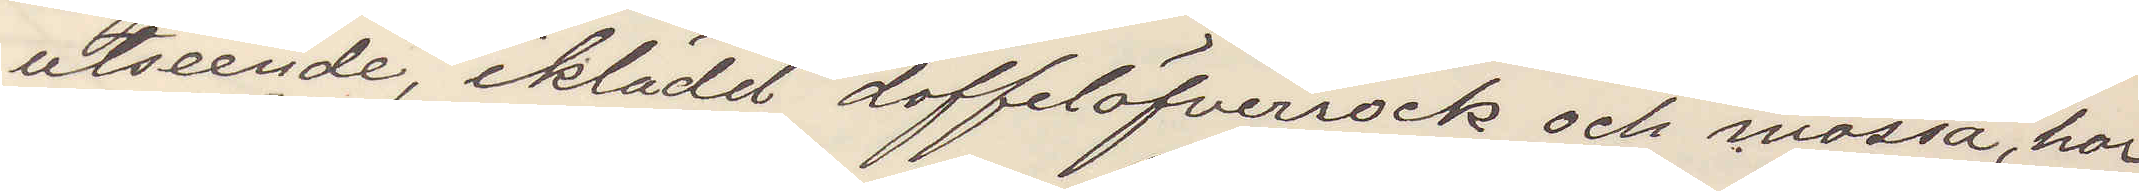utseende, iklädd doffelöfverrock och mössa, har
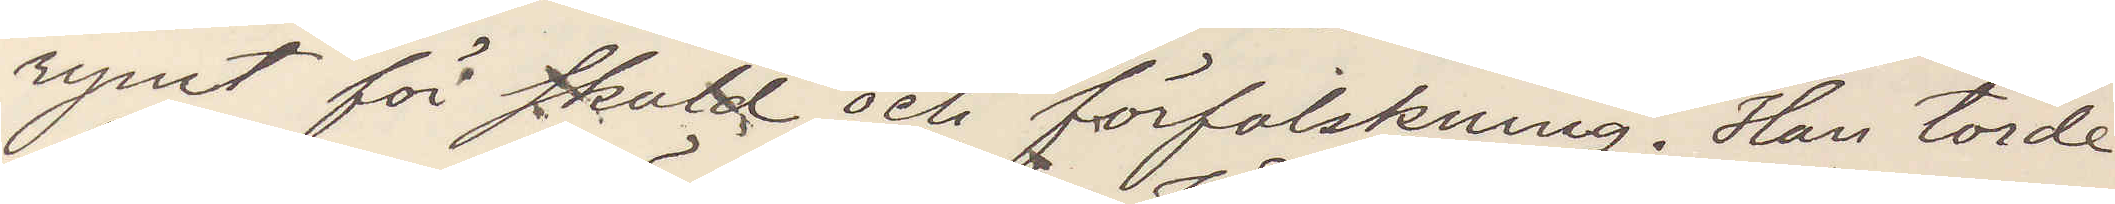rymt för skuld och förfalskning. Han torde
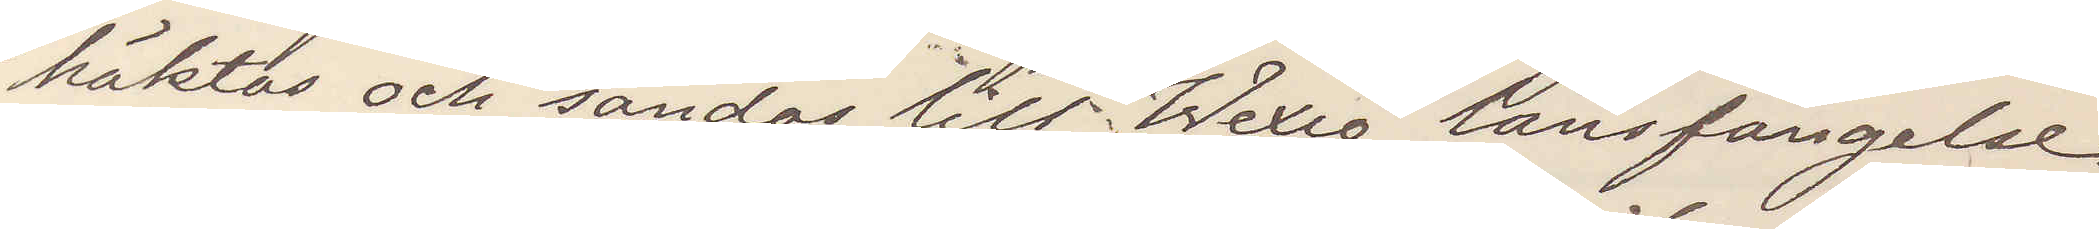häktas och sändas till Wexiö länsfängelse.
